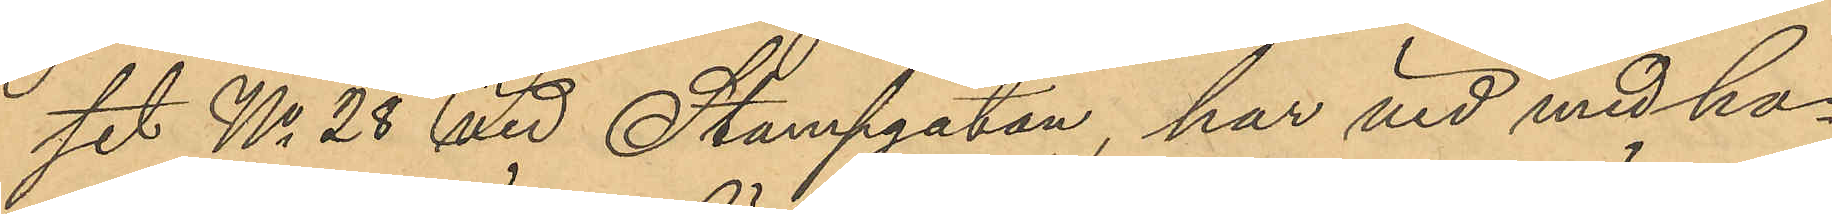set No 28 vid Stampgatan, har vid med ho¬
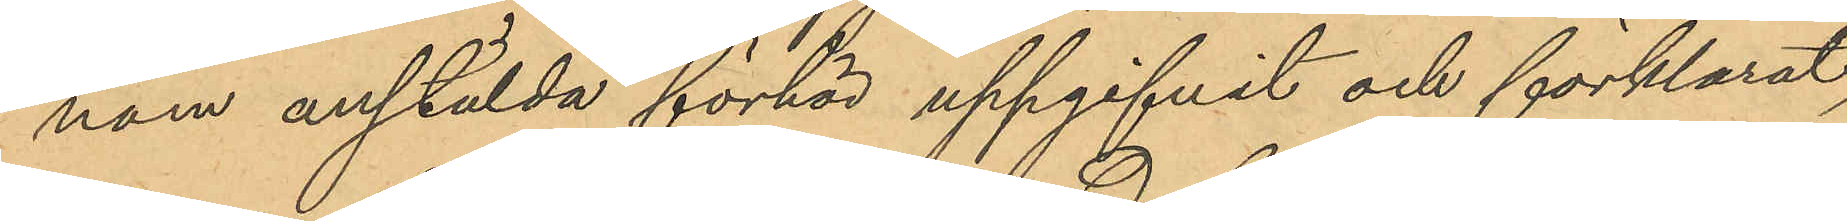nom anstälda förhör uppgifvit och förklarat,
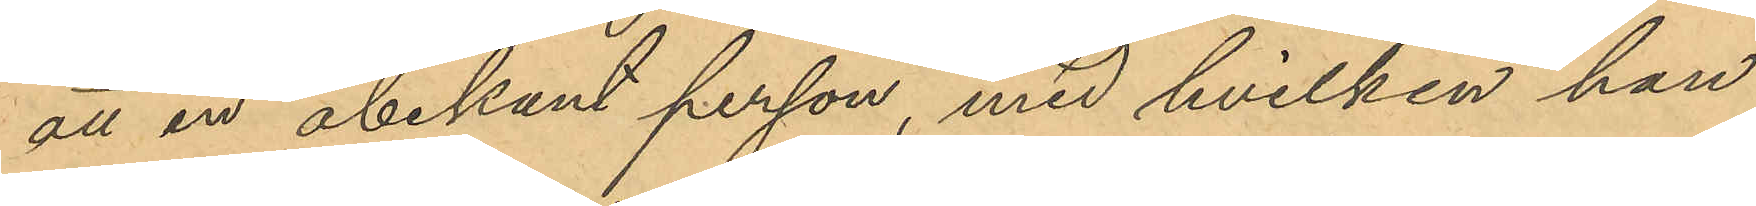att en obekant person, med hvilken han
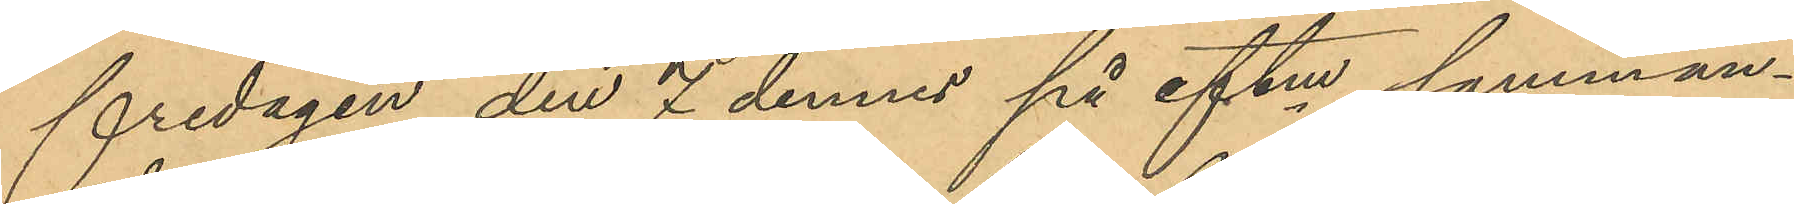fredagen den 7 dennes på eftm samman¬
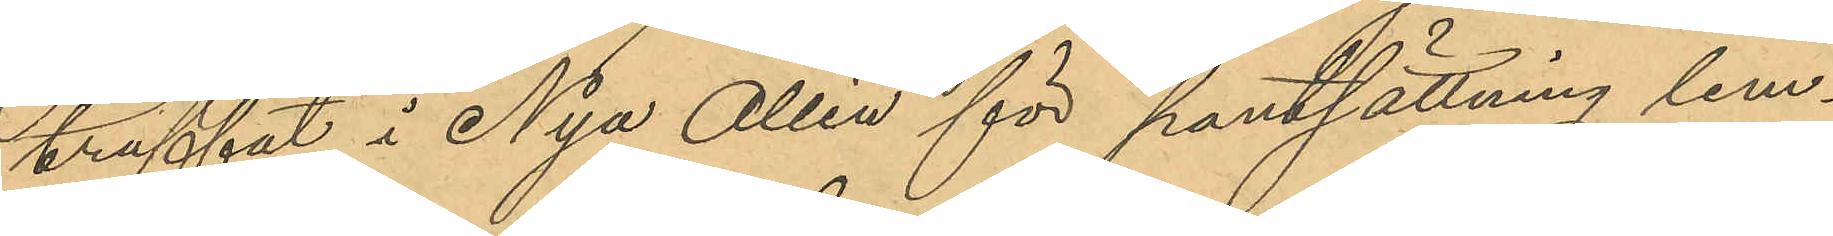träffat i Nya Allén för pantsättning lem¬
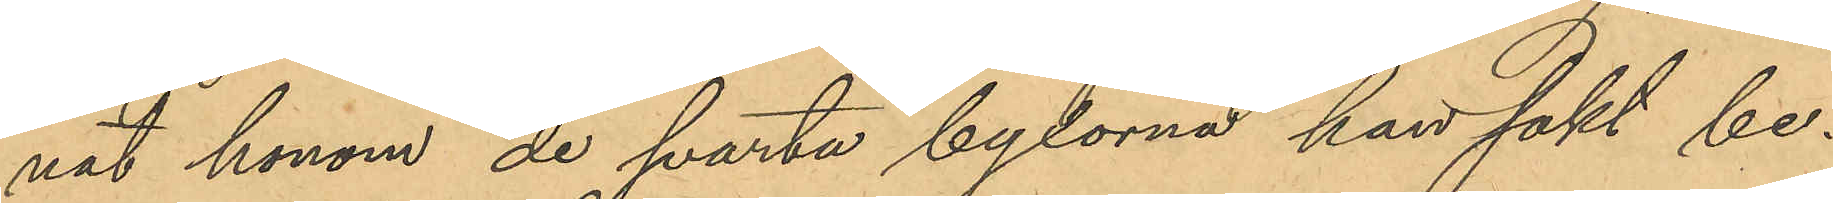nat honom de svarta byxorna han sökt be¬
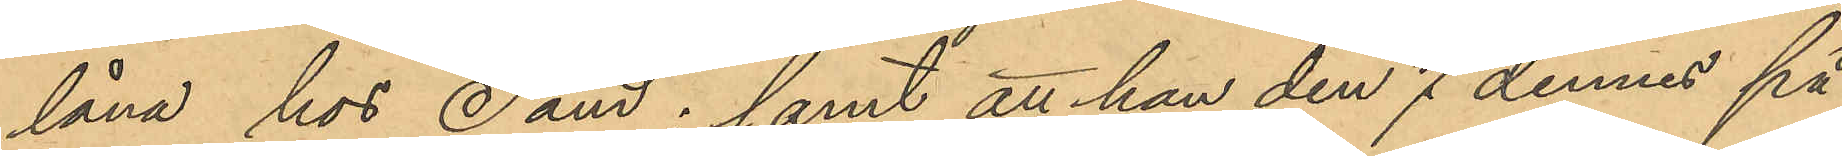låna hos Sand; samt att han den 1 dennes på
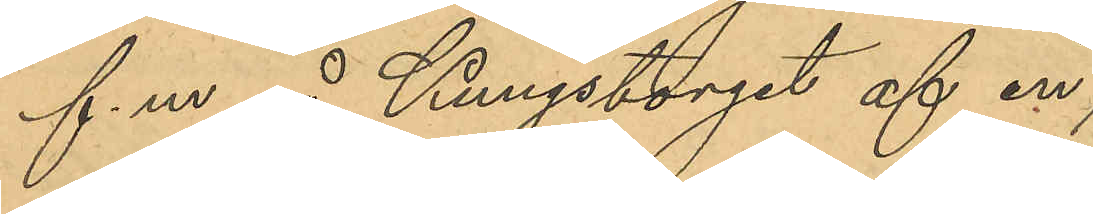f.m. å Kungstorget af en
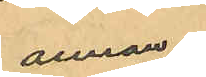annan
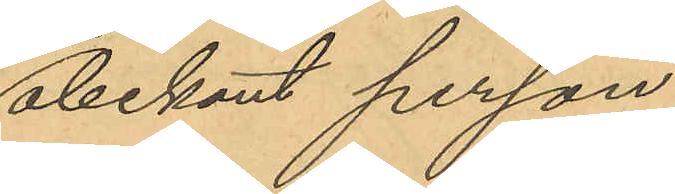obekant person
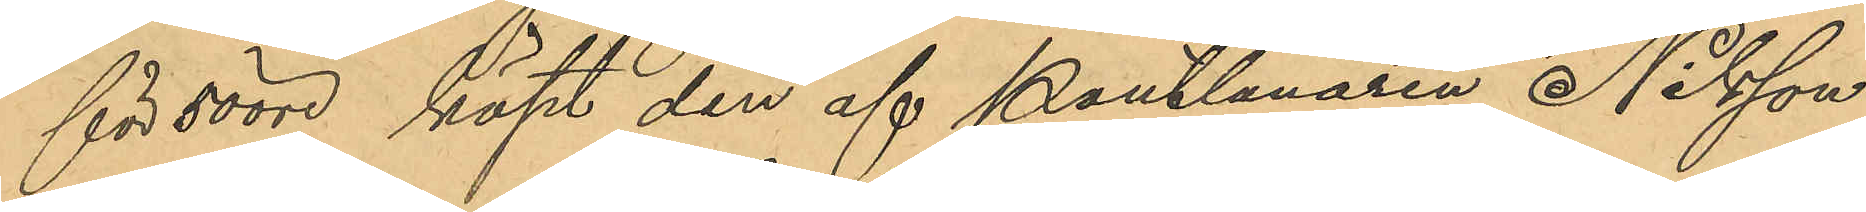för 50 öre köpt den af Pantlånaren Nilsson
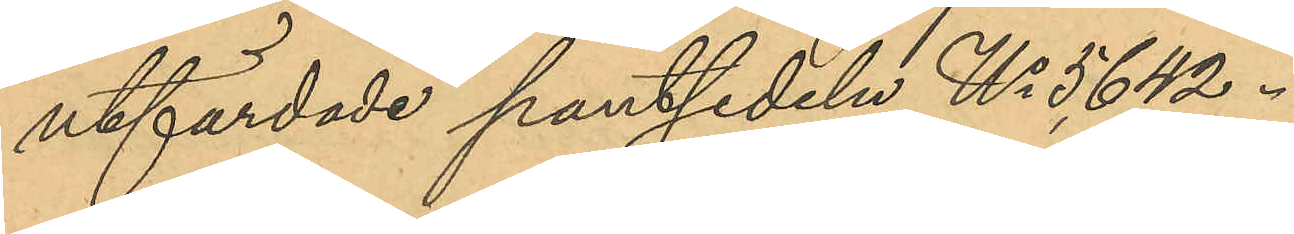utfärdade pantsedeln No 5642.
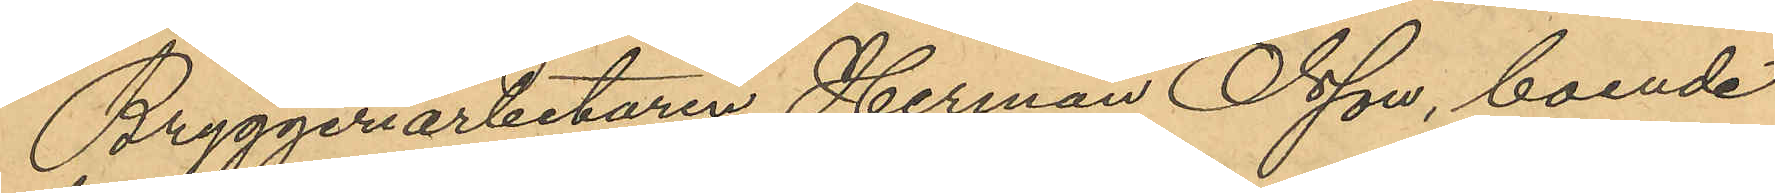Bryggeriarbetaren Herman Olsson, boende
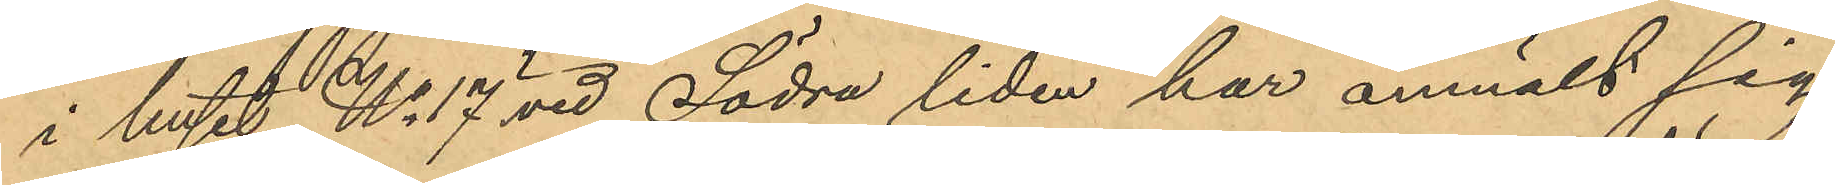i huset No 17 vid Södra liden har anmält sig
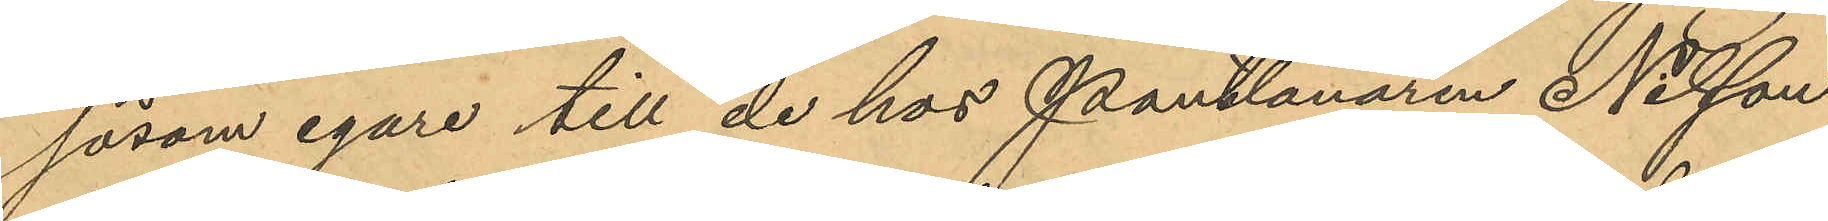såsom egare till de hos Pantlånaren Nilsson
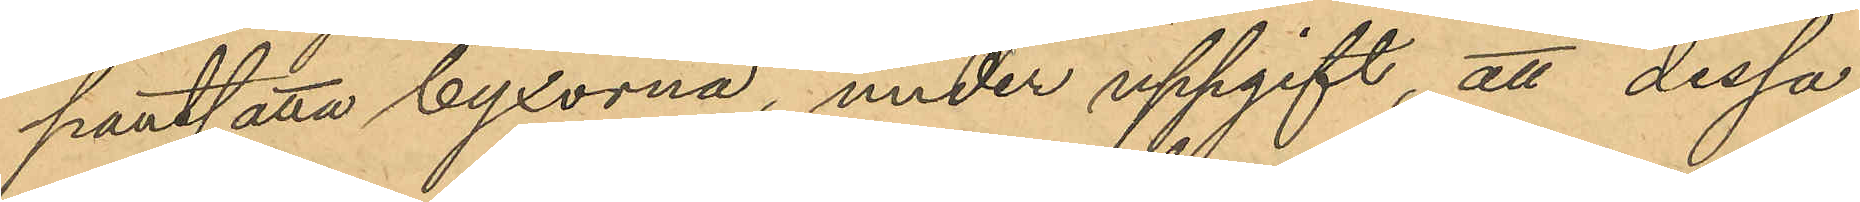pantsatta byxorna, under uppgift, att dessa,
